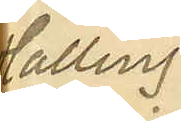Halling
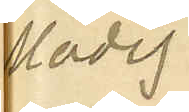Modig
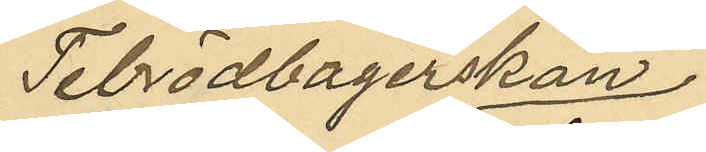Tebrödbagerskan
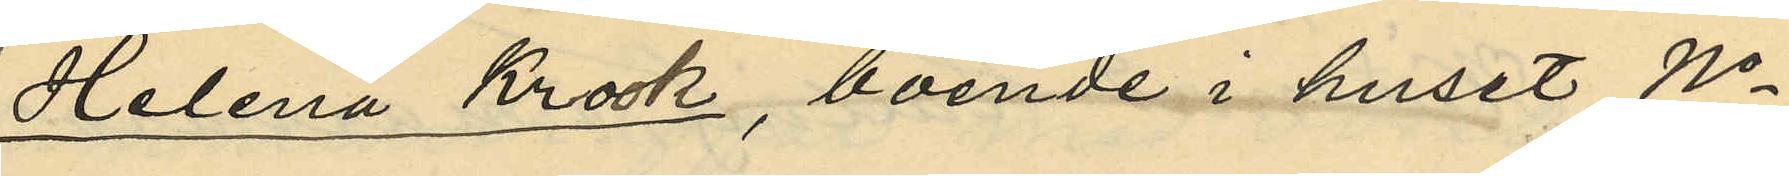Helena Krook, boende i huset No
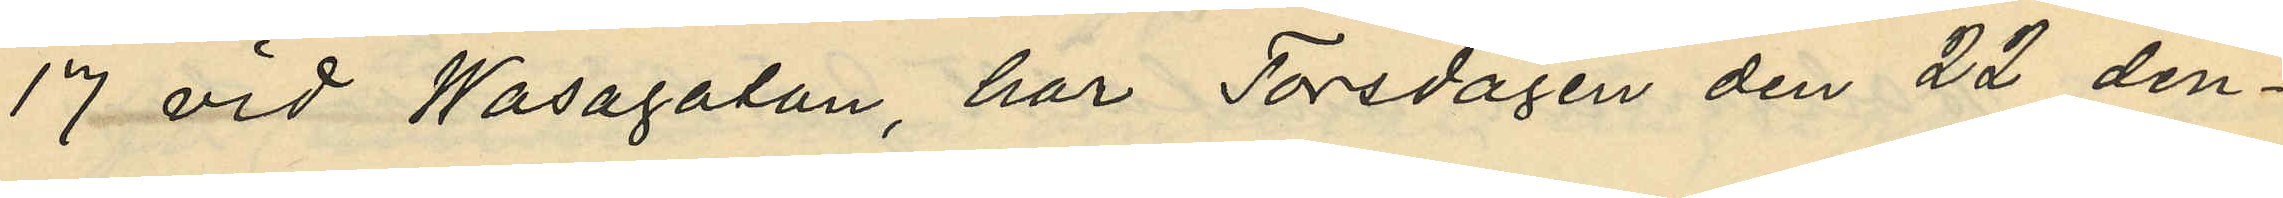17 vid Wasagatan, har Torsdagen den 22 den¬
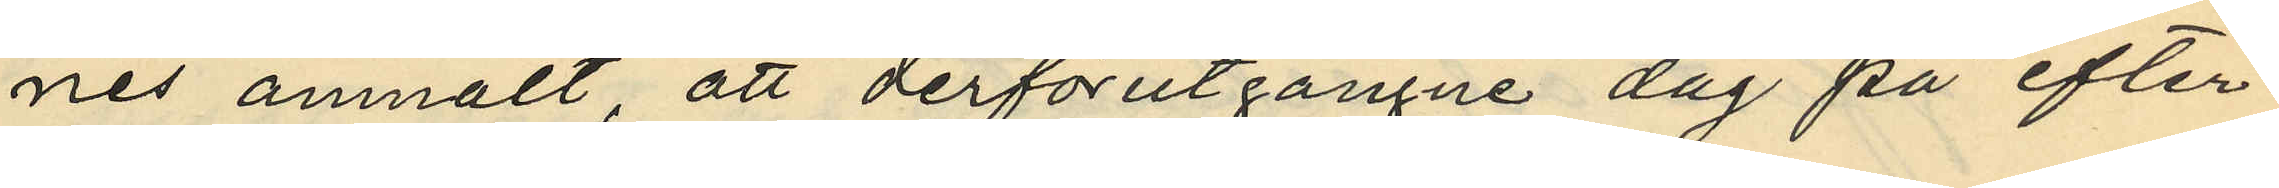nes anmält, att derförutgångne dag på efter¬
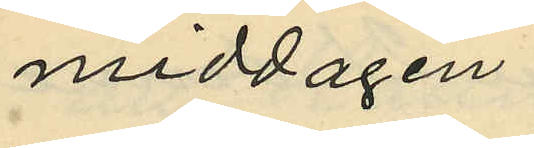middagen
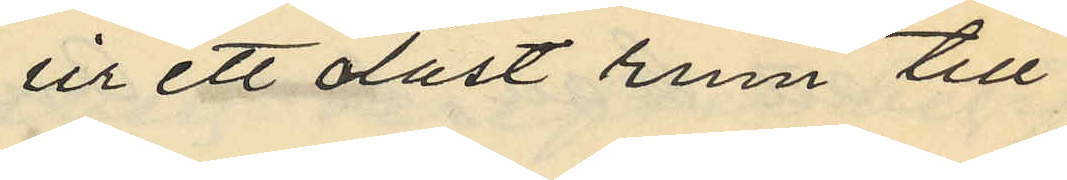ur ett olåst rum till
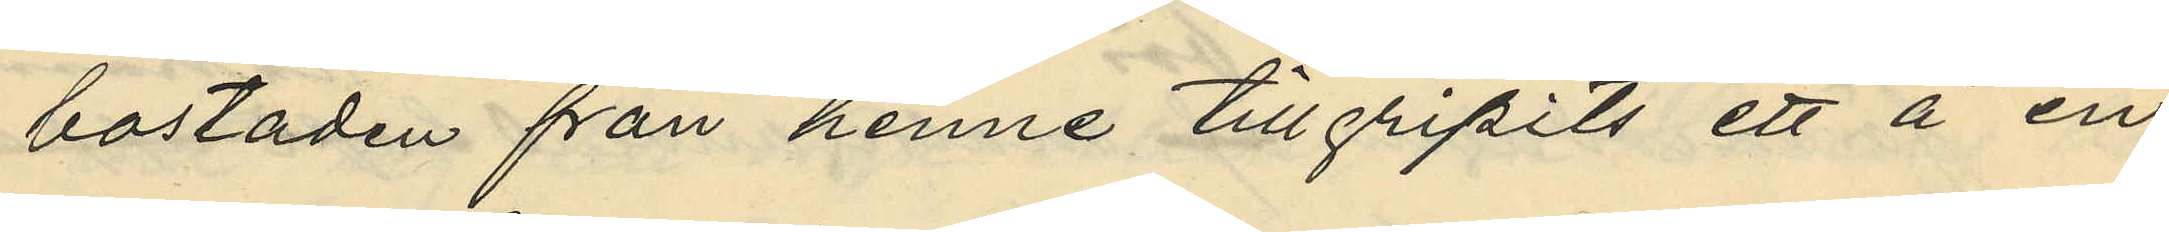bostaden från henne tillgripits ett å en
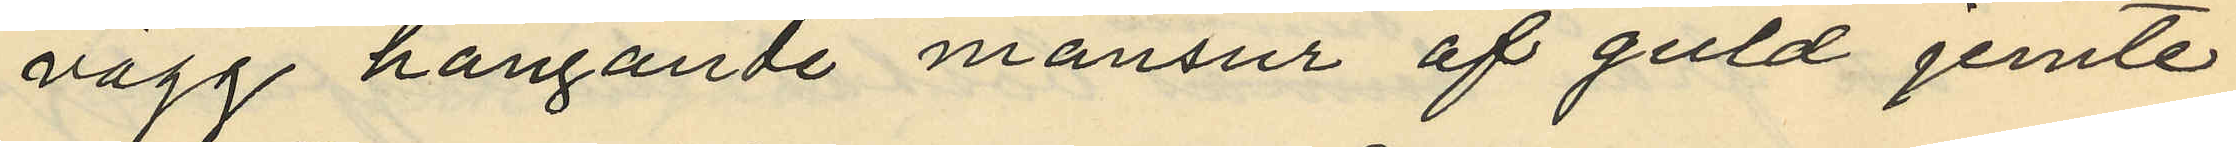vägg hängande mansur af guld jemte
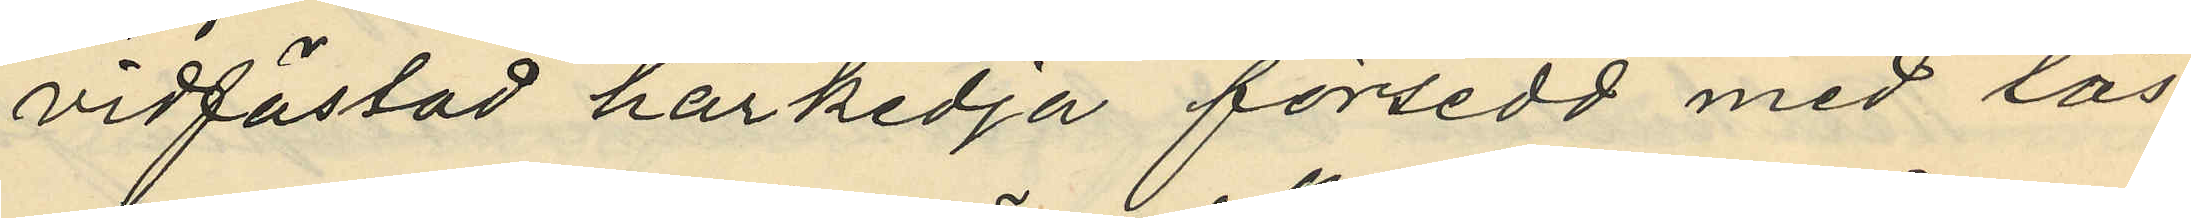vidfästad hårkedja försedd med lås
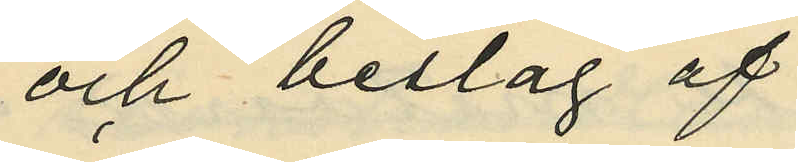och beslag af
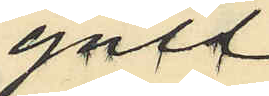guld
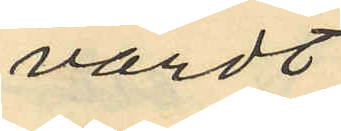värdt
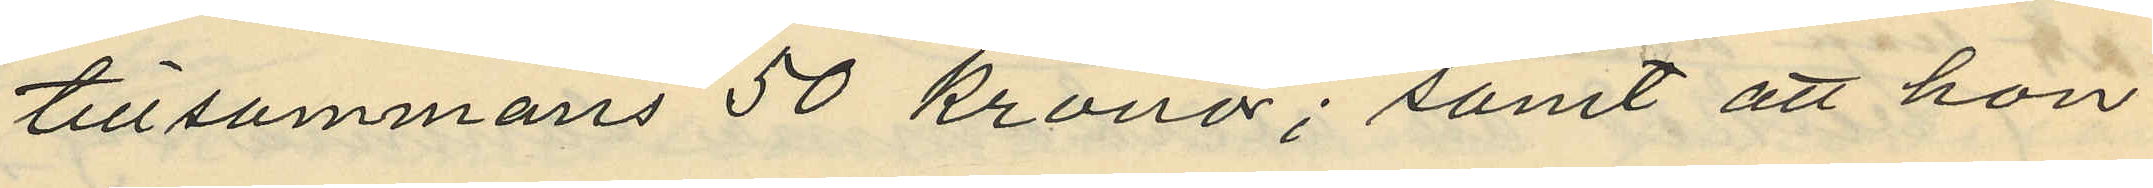tillsammans 50 Kronor; samt att hon
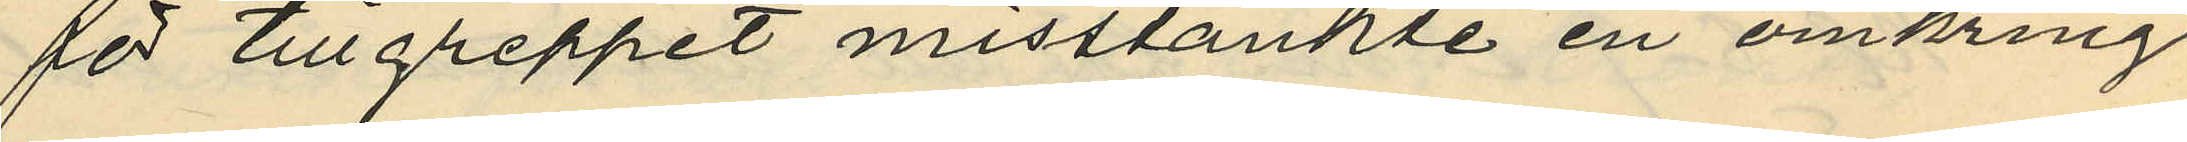för tillgreppet misstänkte en omkring
